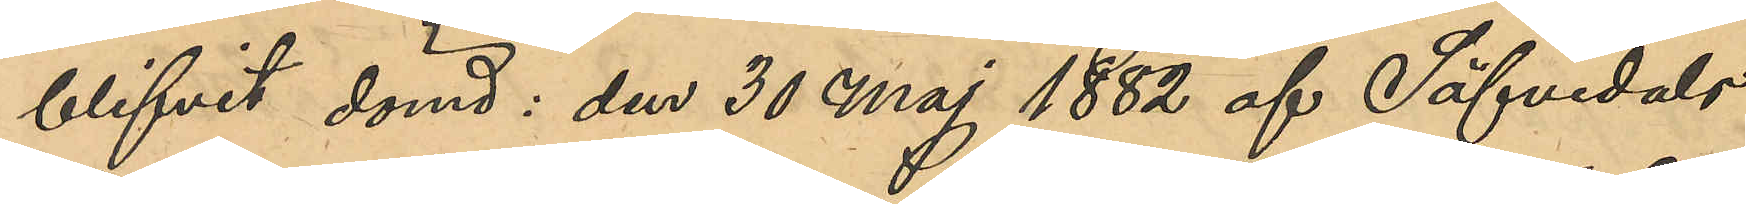blifvit dömd: den 30 Maj 1882 af Säfvedals
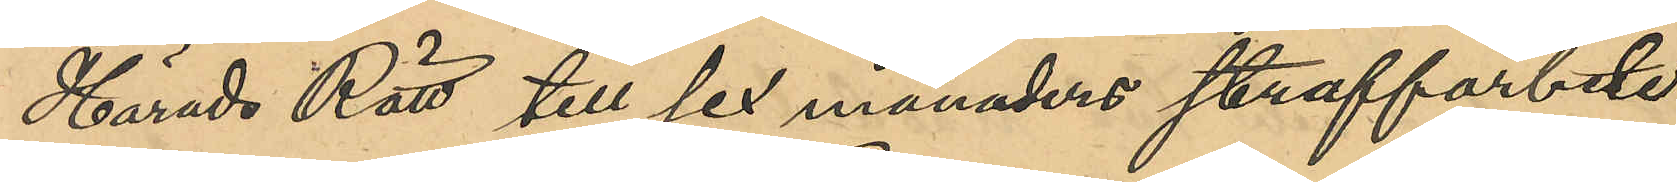Härads Rätt till sex månaders straffarbete
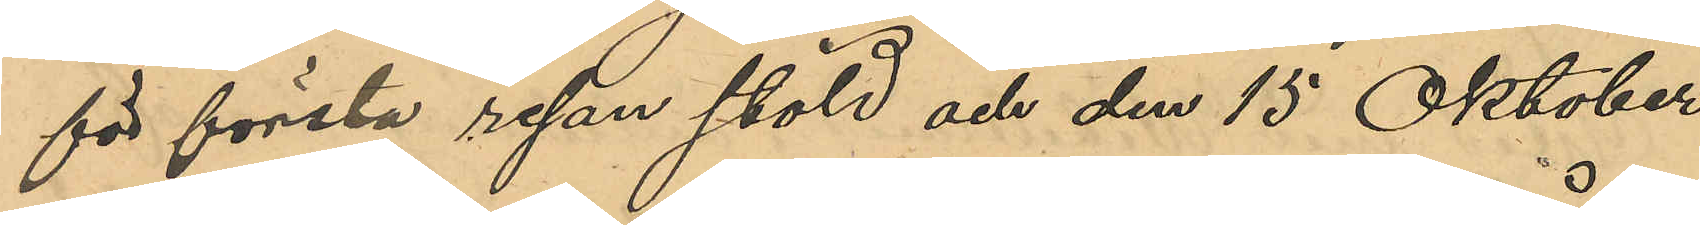för första resan stöld och den 15 Oktober
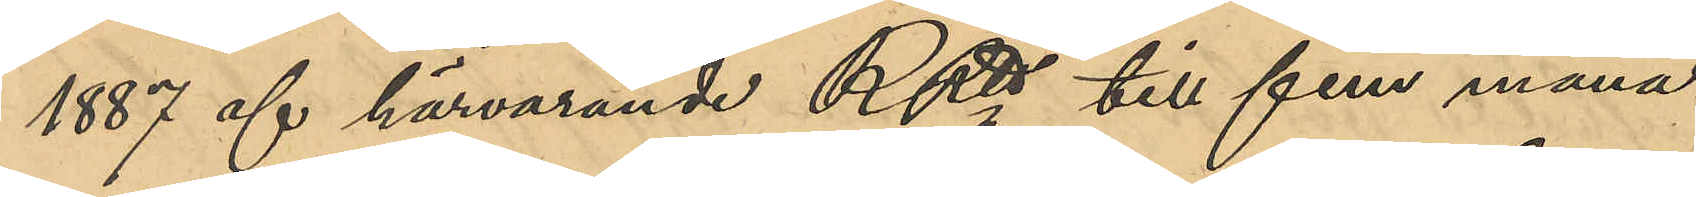1887 af härvarande RRtt till fem måna¬
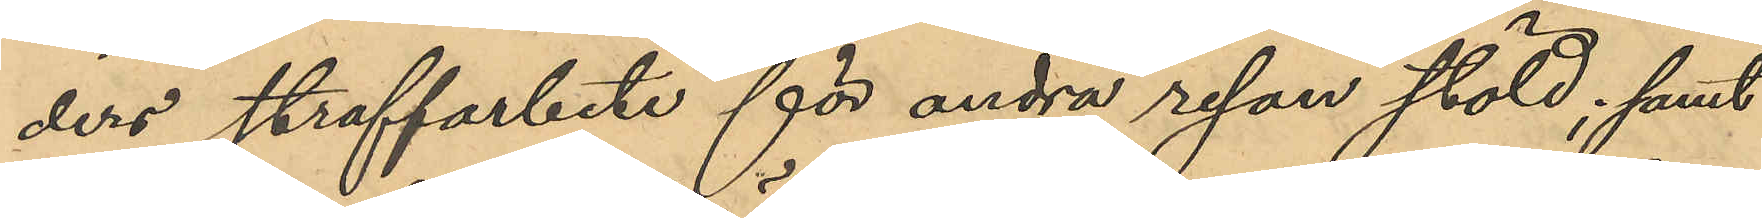ders straffarbete för andra resan stöld; samt
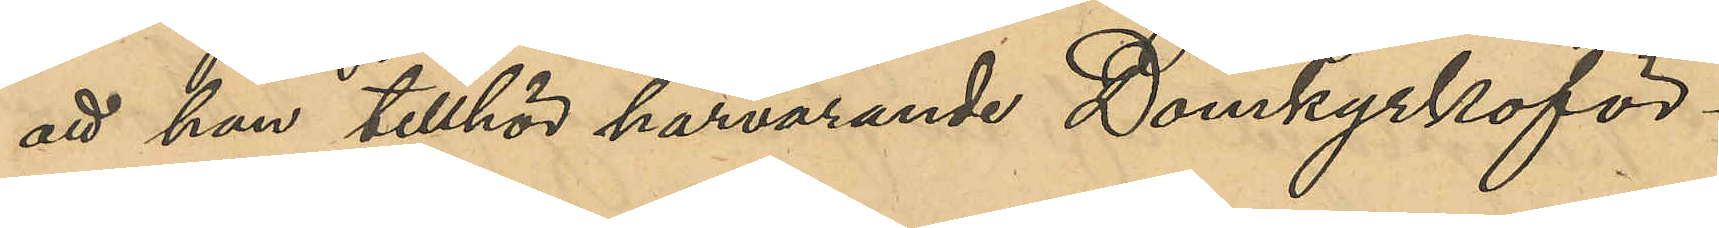att han tillhör härvarande Domkyrkoför¬
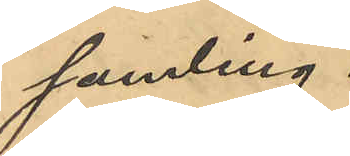samling.
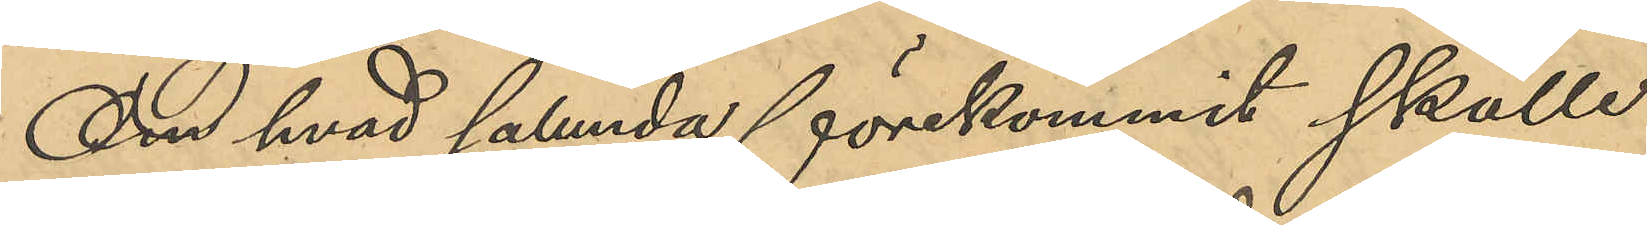Om hvad sålunda förekommit skulle
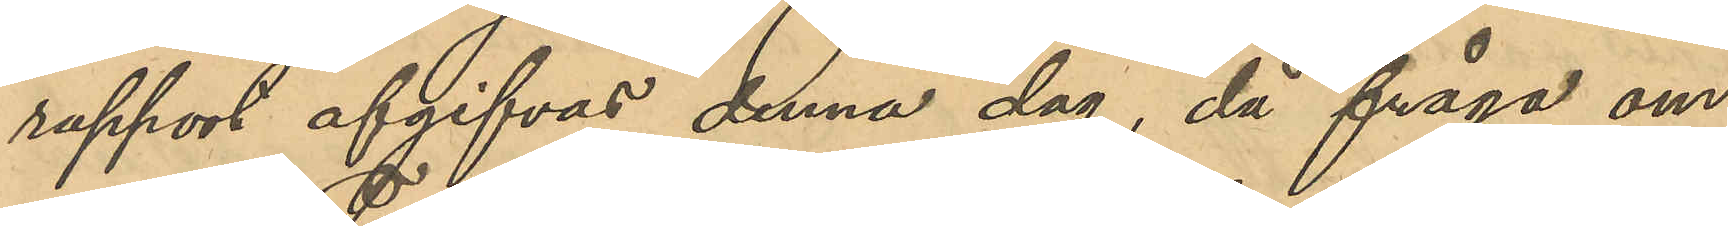rapport afgifvas denna dag, då fråga om
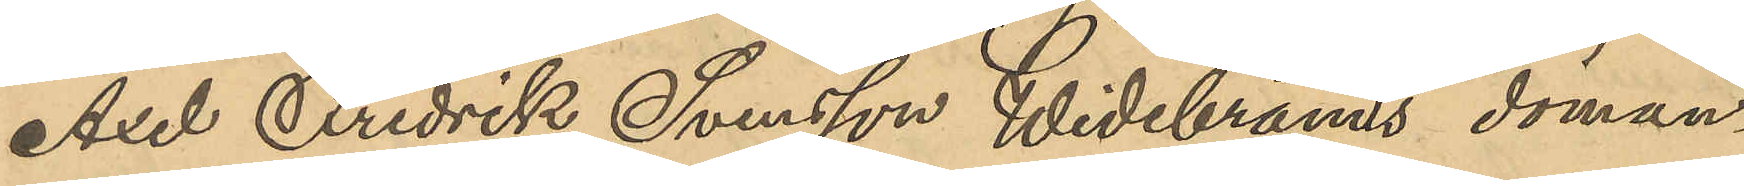Axel Fredrik Svensson Widebrands döman¬
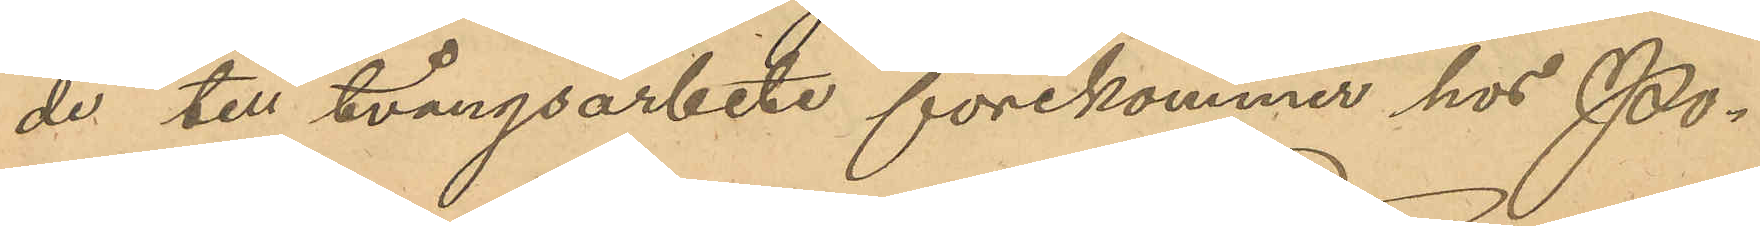de till tvångsarbete förekommer hos Po¬
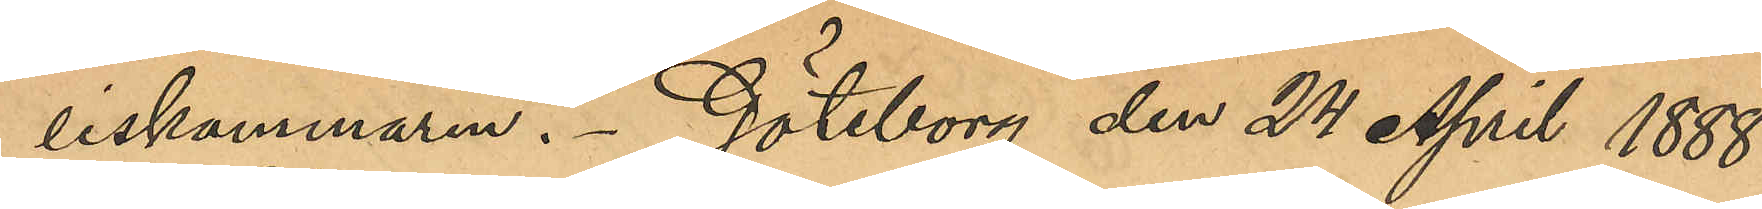liskammaren. Göteborg den 24 April 1888.
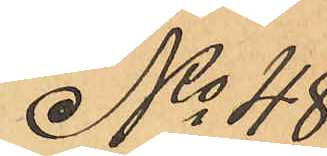No 48
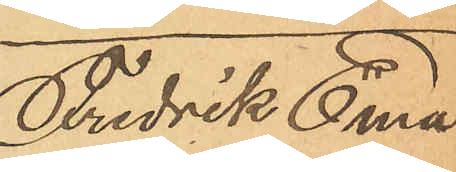Fredrik Ema¬
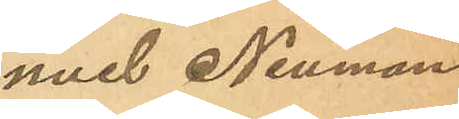nuel Neuman.
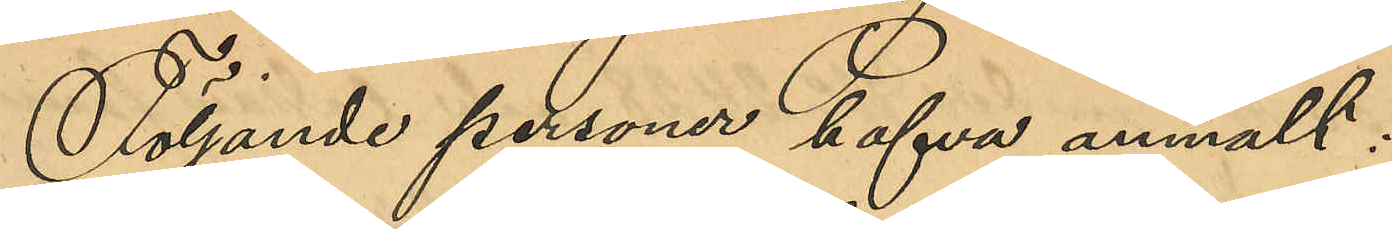Följande personer hafva anmält:
